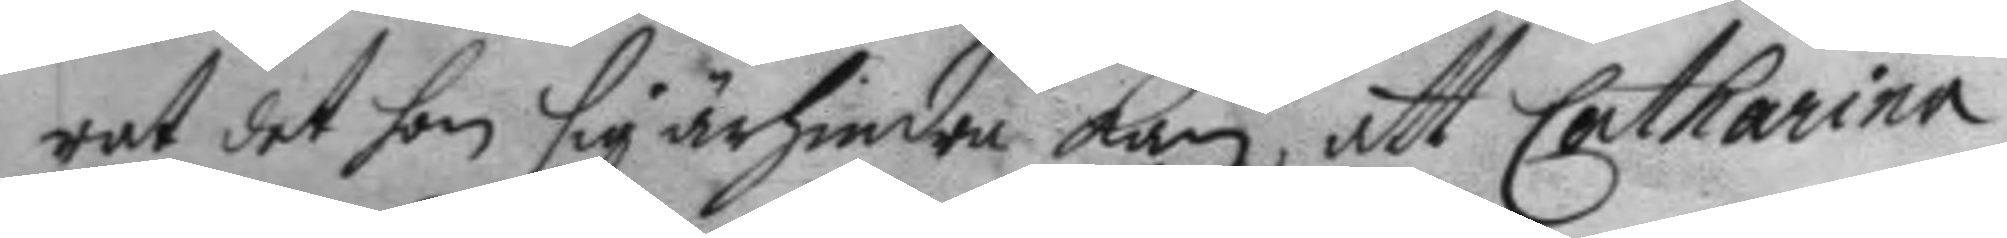rat det hon sig ärhindra kan, att Catharina
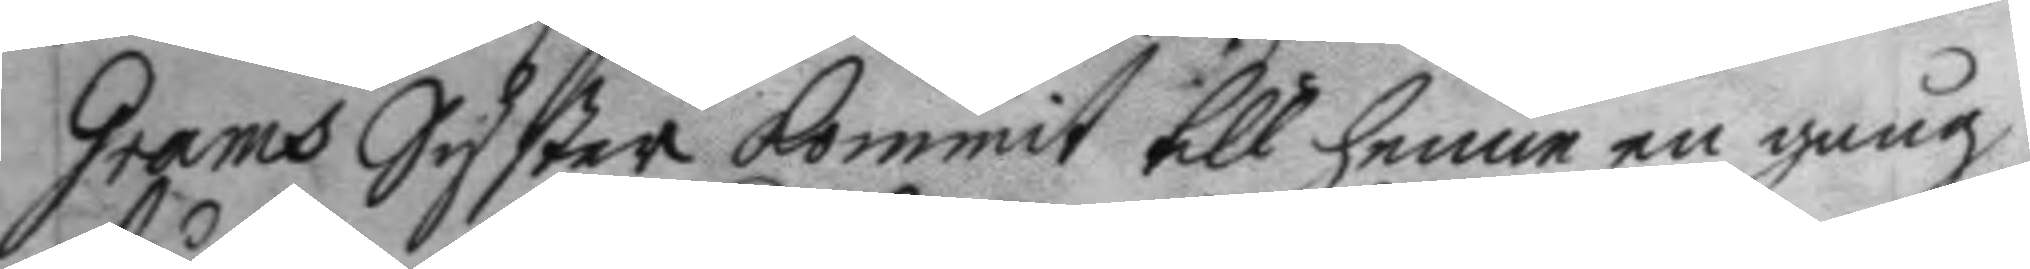Grams Syster kommit till henne en gång
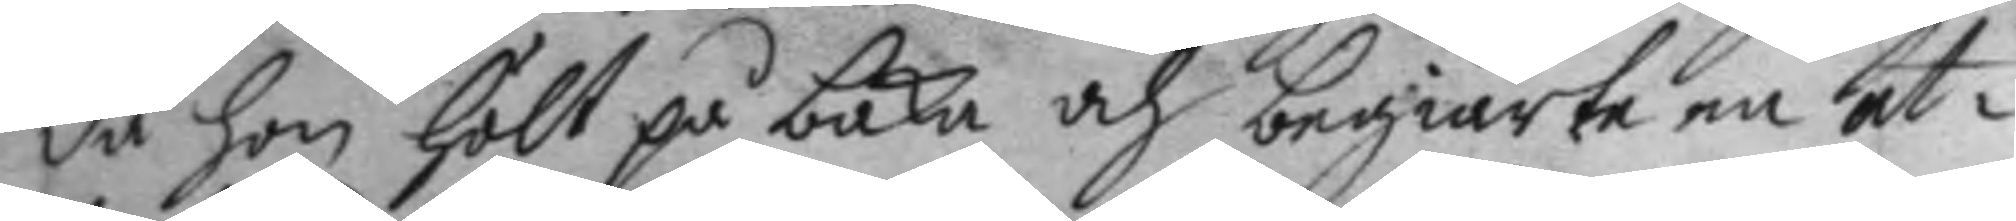da hon hölt på baka och begiärte en at¬
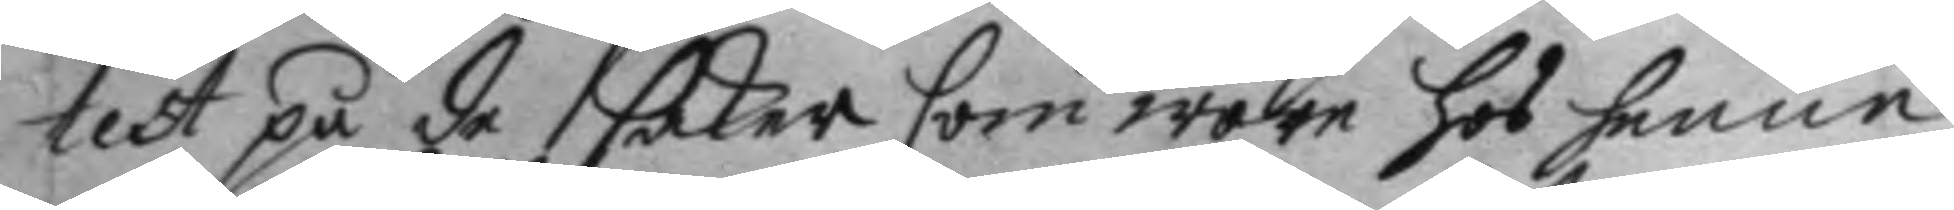test på de saker som wore hos henne
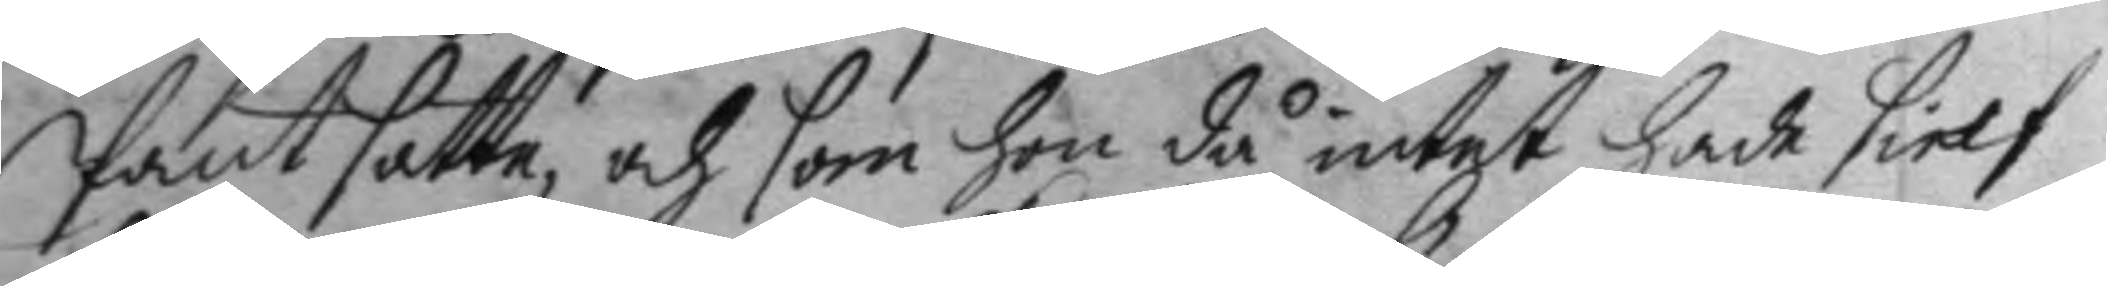Pant satte, och som hon då intet hade sielf
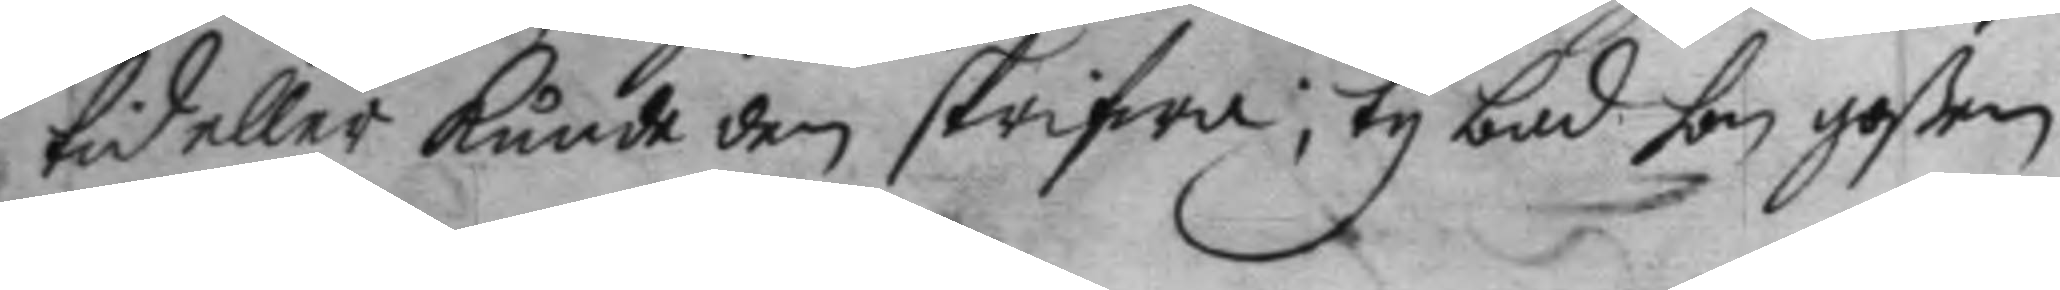tid eller kunde den skrifwa; ty bad hon goßen
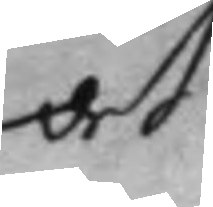at
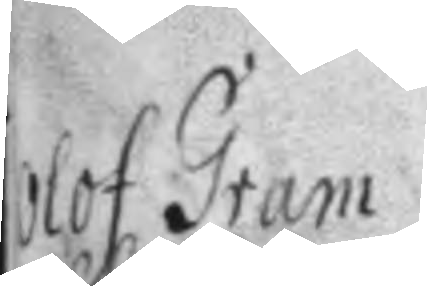Olof Gram
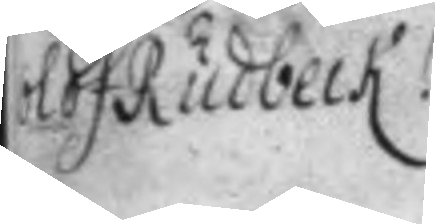Olof Rudbeck
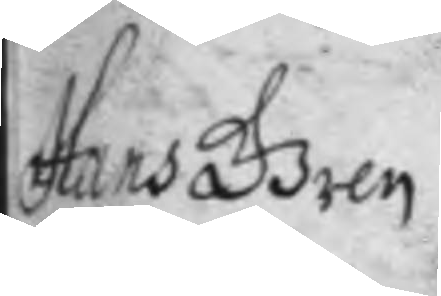Hans Gren
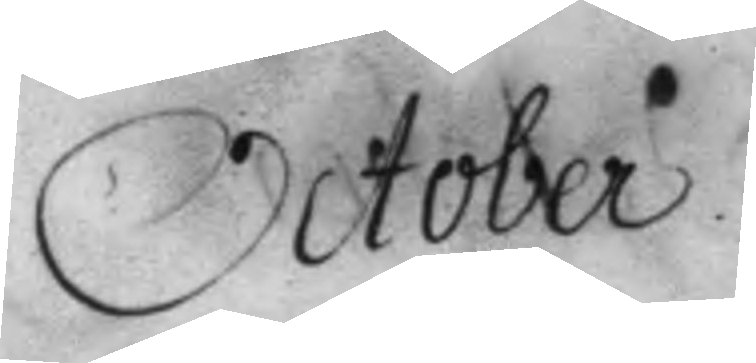October.
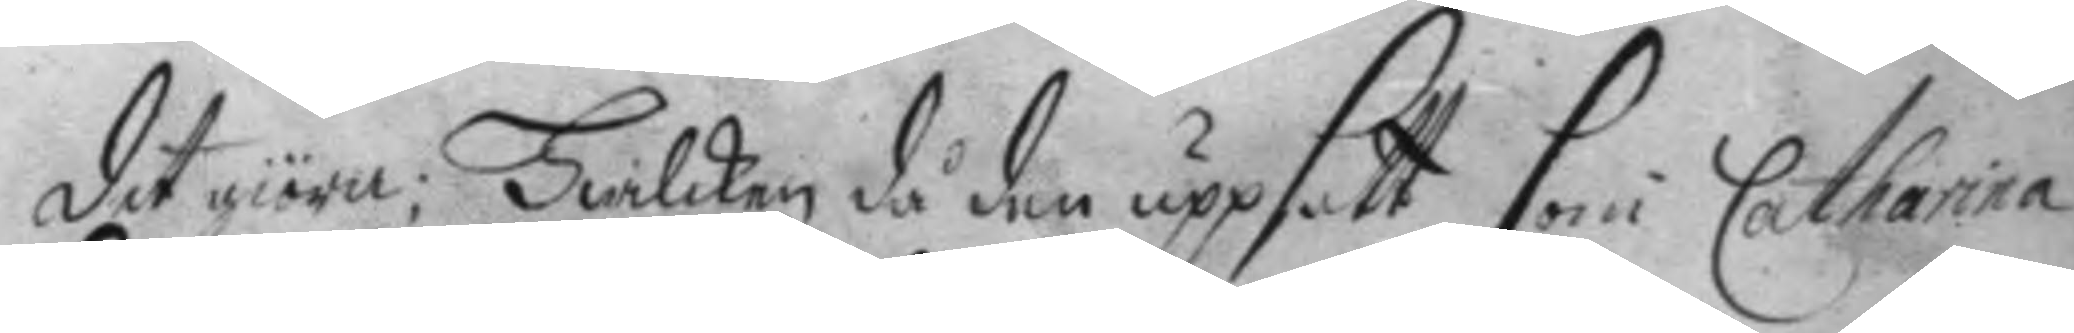det giöra. Hwilcken då den uppsatt som Catharina
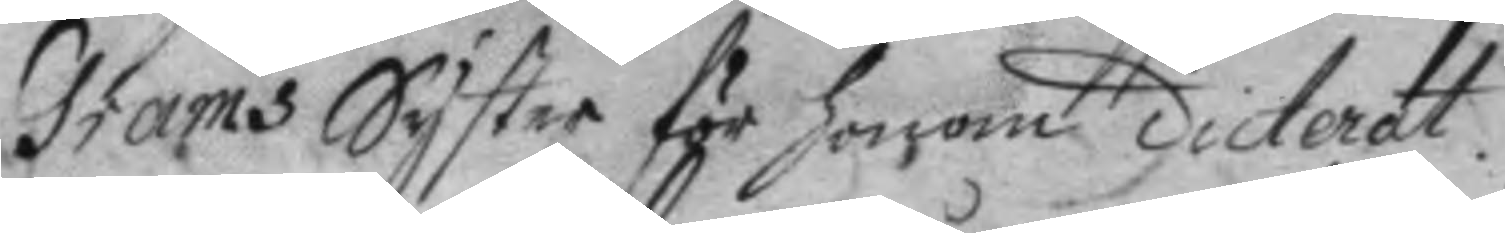Grams Syster för honom cicterat.
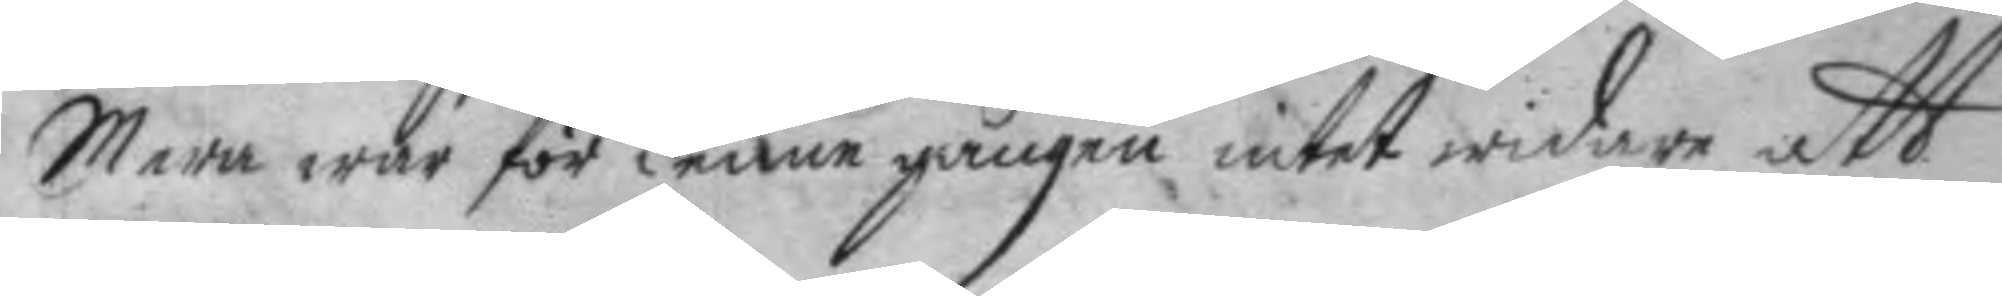Mera war för denne gången intet widare att
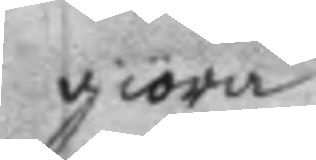giöra.
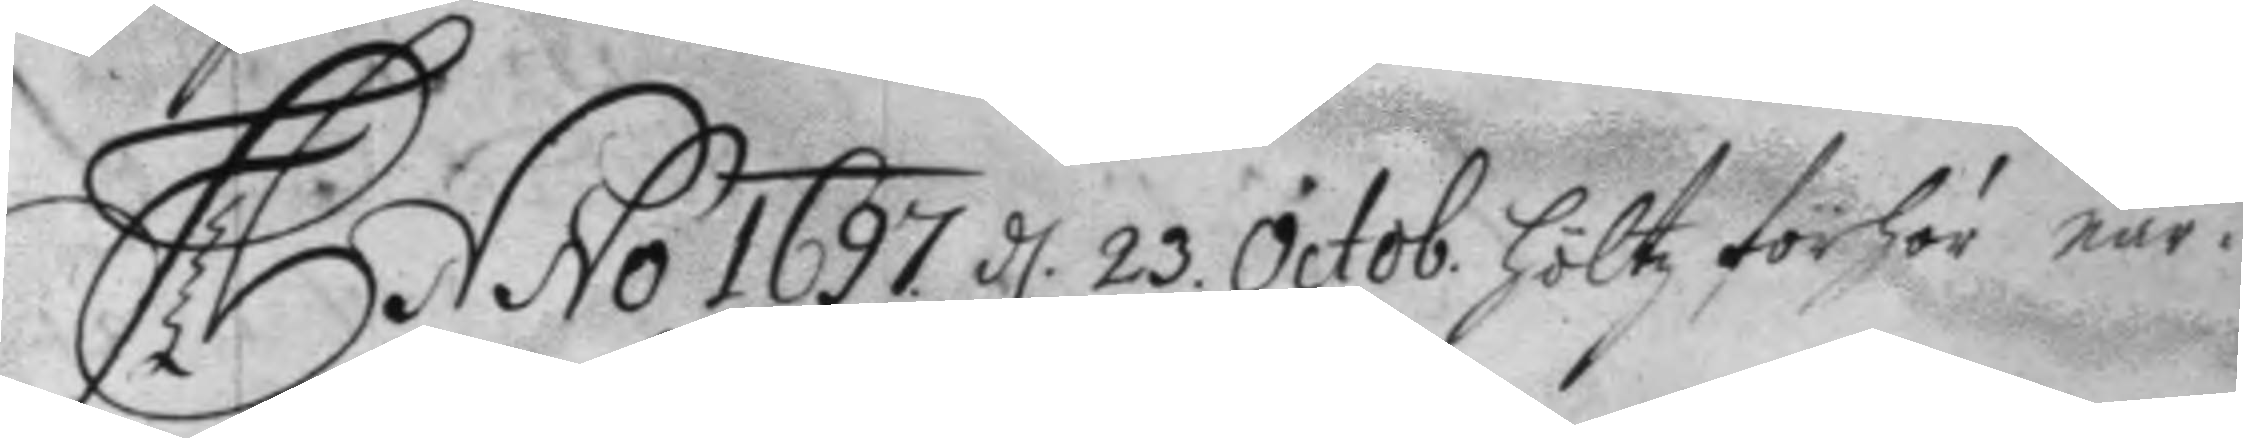Anno 1697 d 23 Octob. Höltz förhör när¬ 
